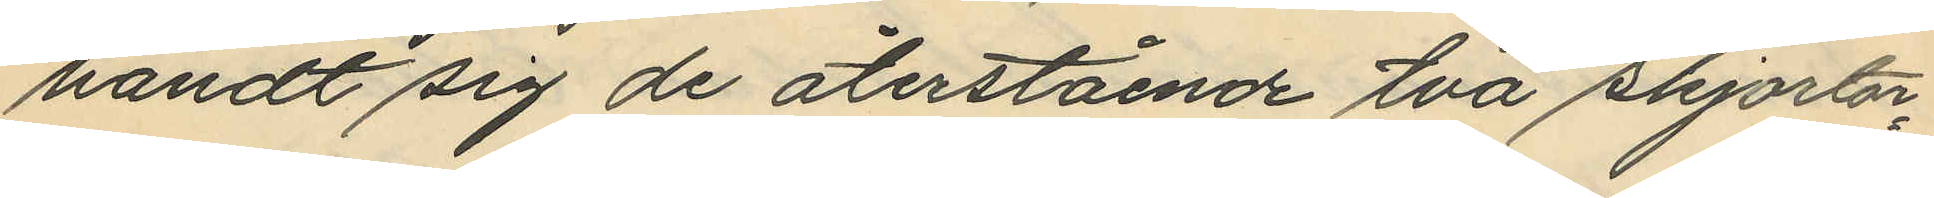händt sig de återstående två skjortor¬
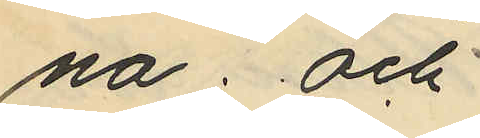na; och
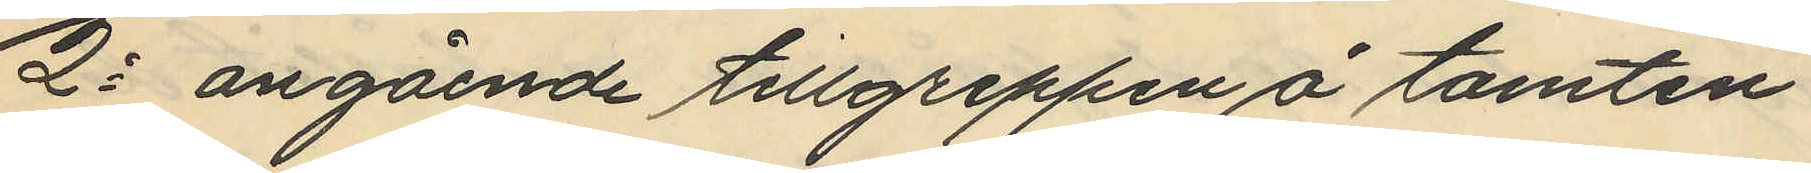2o angående tillgreppen å tomten
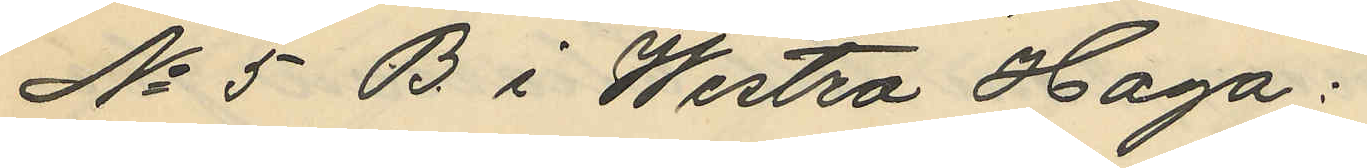No 5 B i Westra Haga:
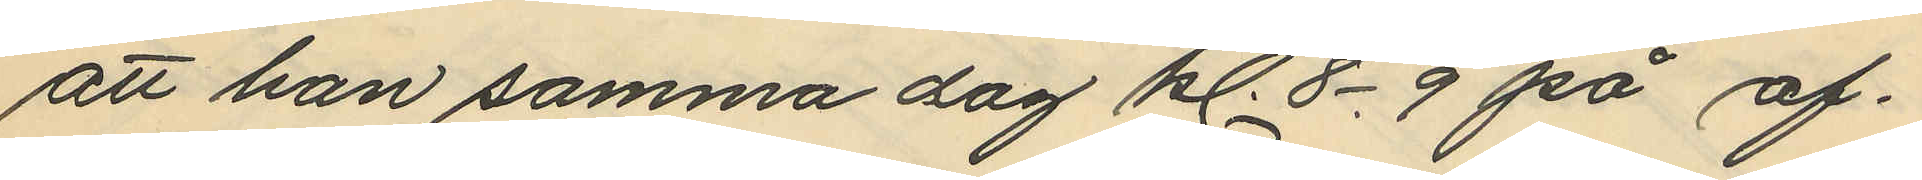att han samma dag kl. 8-9 på af¬
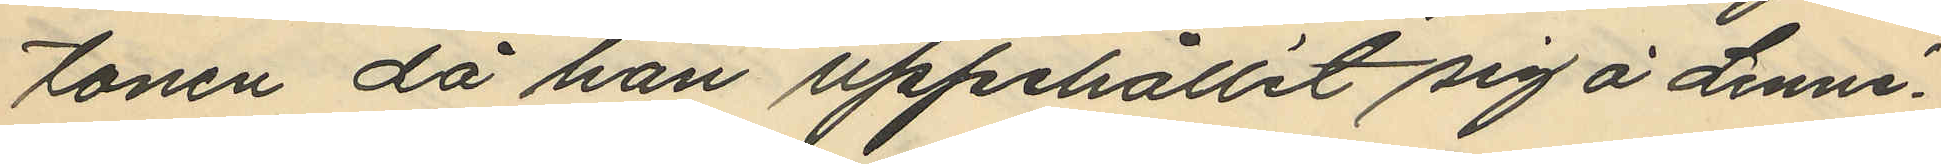tonen då han uppehållit sig å Linné¬
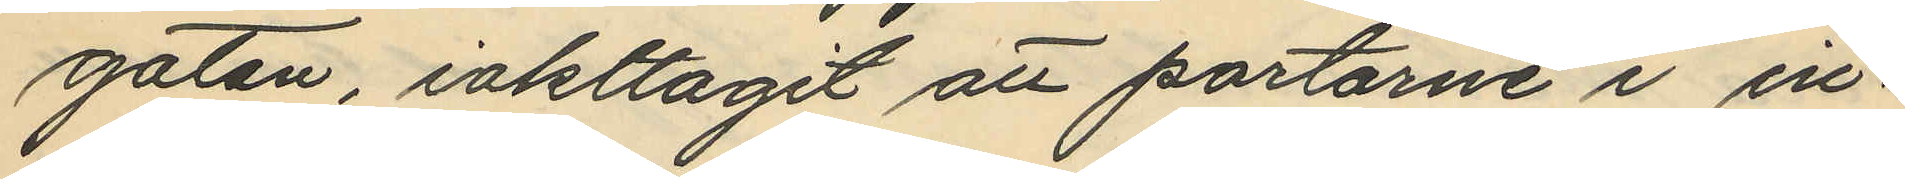gatan, iakttagit att portarne i in¬
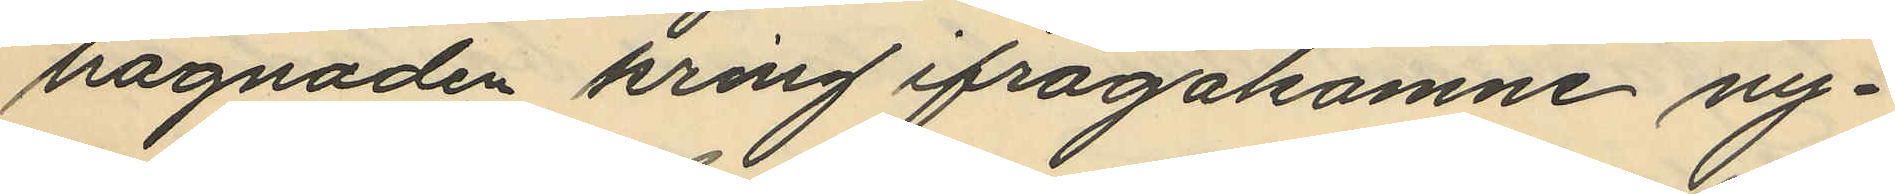hägnaden kring ifrågakomne ny¬
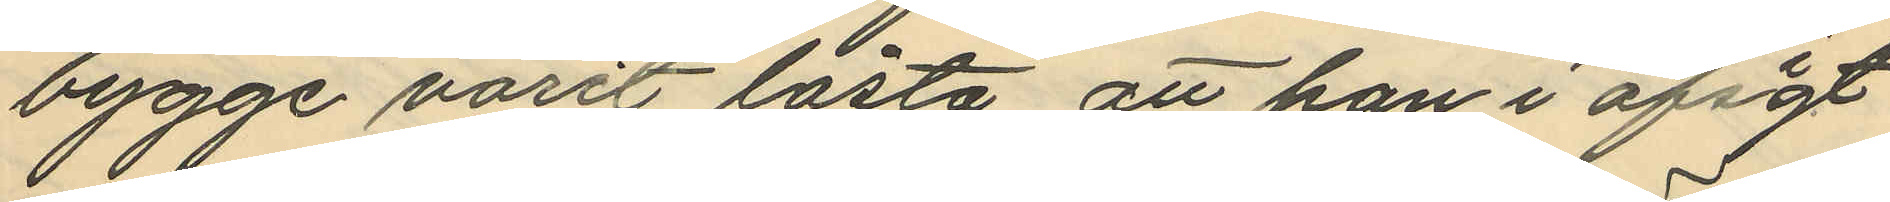bygge varit låsta, att han i afsigt
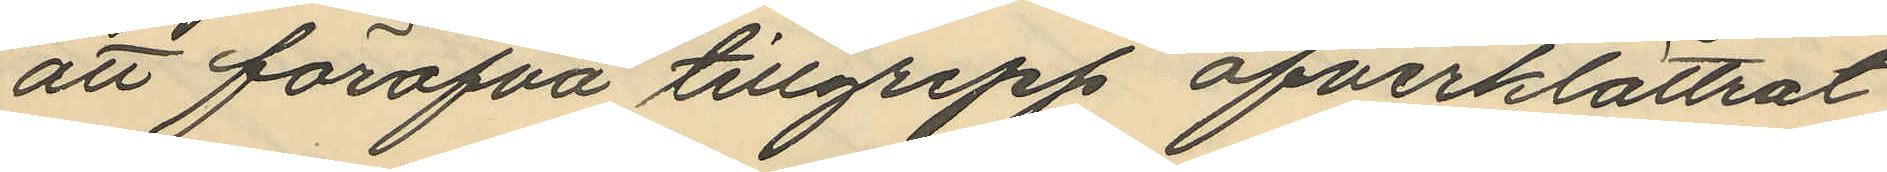att föröfva tillgrepp öfverklättrat
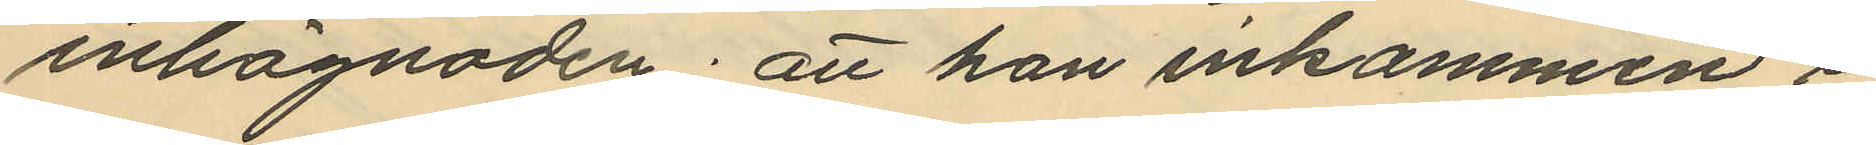inhägnaden; att han inkommen i
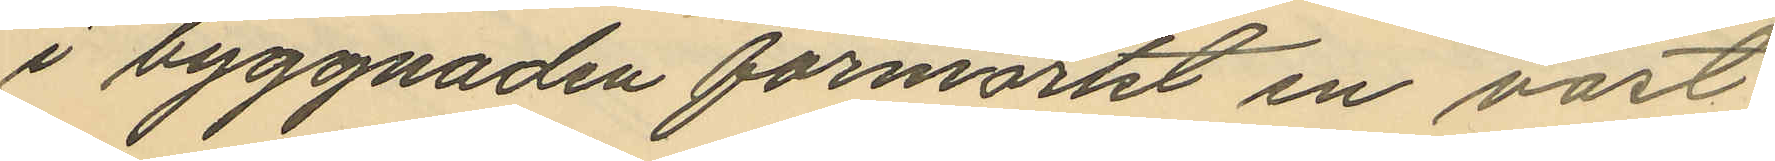i byggnaden förmärkt en väst
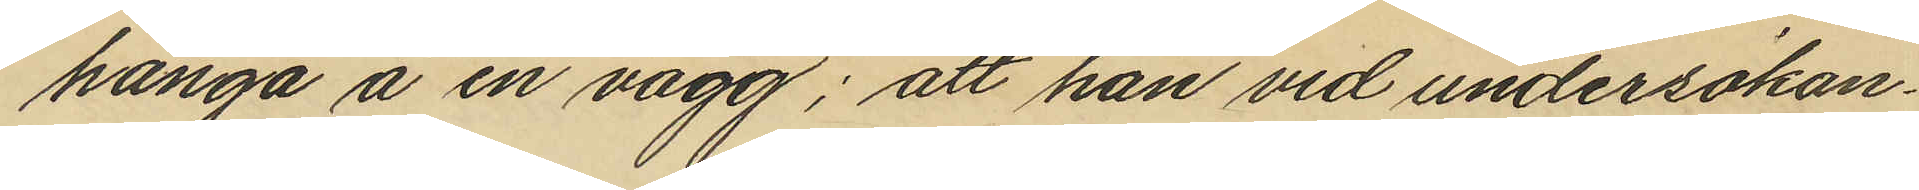hänga å en vägg; att han vid undersökan¬
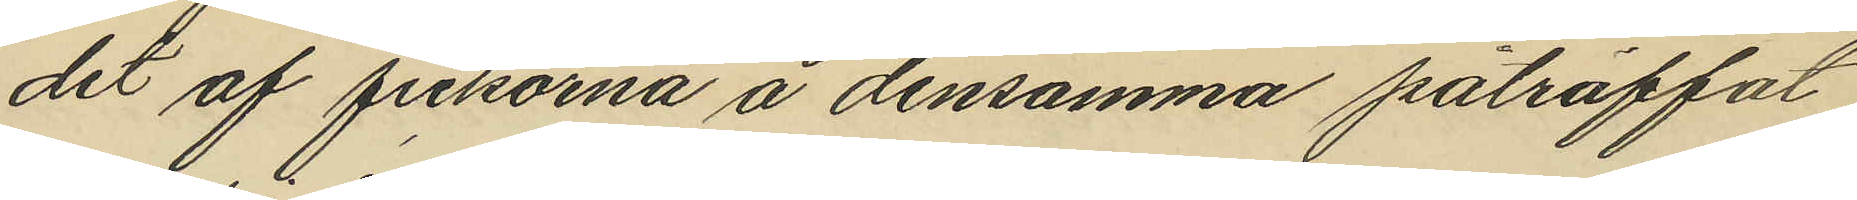det af fickorna å densamma påträffat
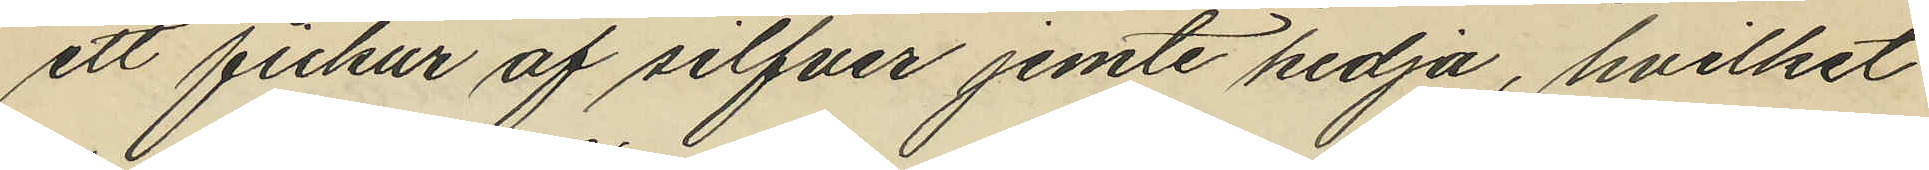ett fickur af silfver jemte kedja, hvilket
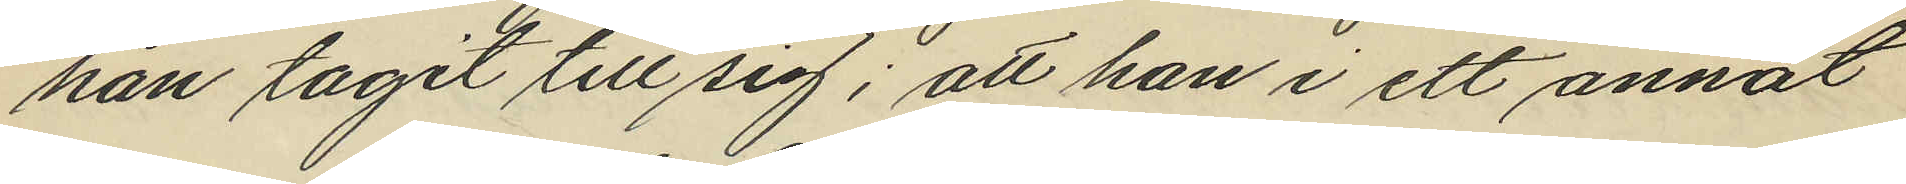han tagit till sig; att han i ett annat
